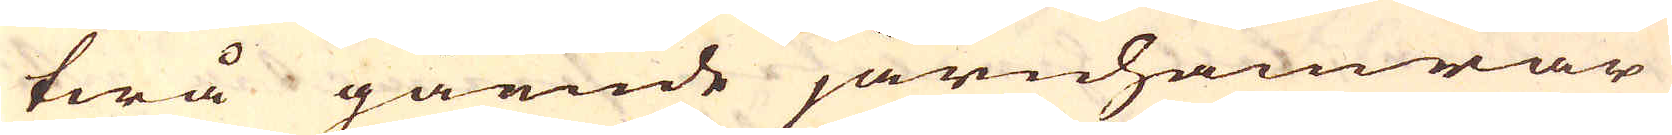twå gående järnhamrar
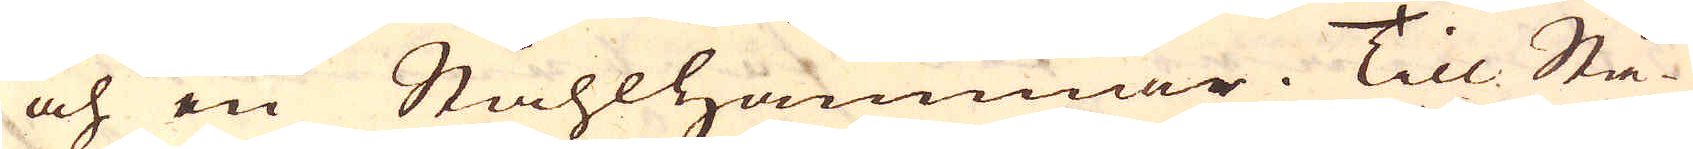och en Ståhlhammer. Till Stå-
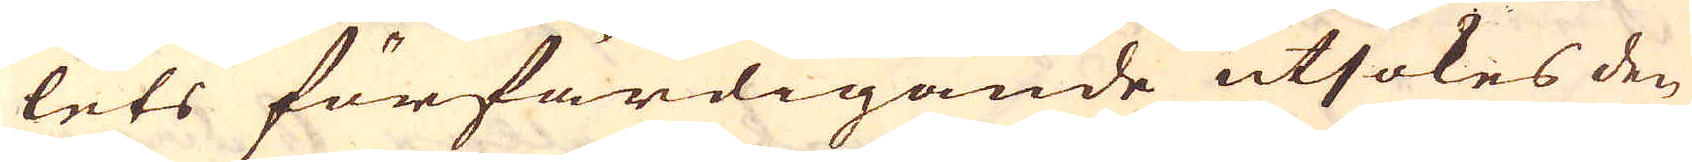lets förfärdigande utsökes den
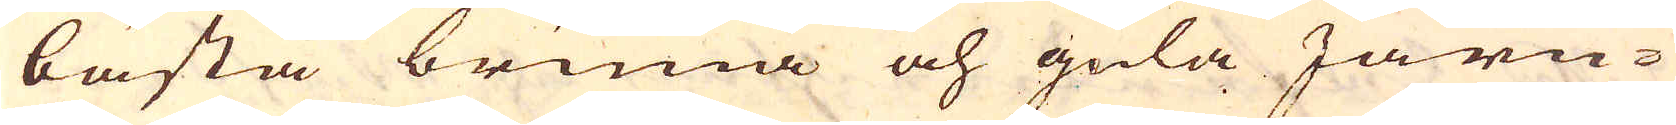bästa bruna och gula Järn-
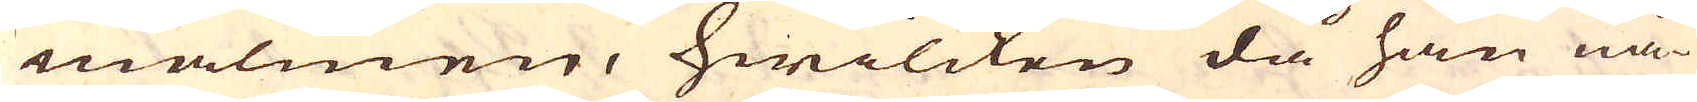malmen, hwilcken då han nå-
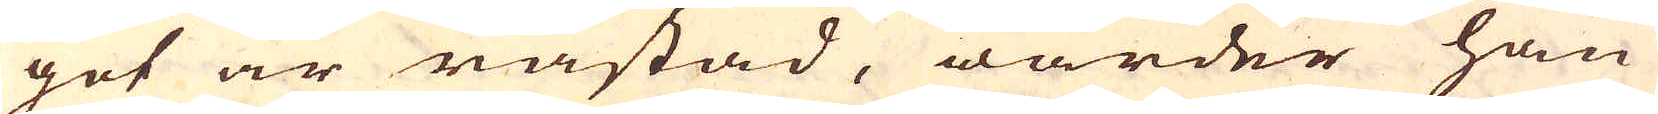got är råstad, warder han
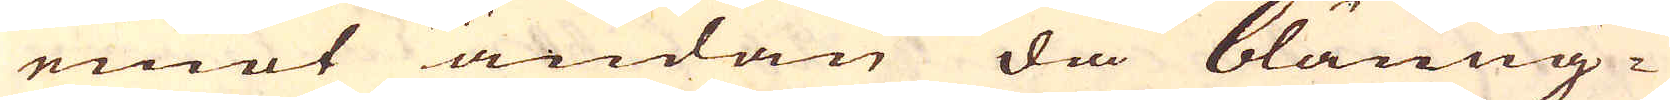emot ändan diå bläuug-
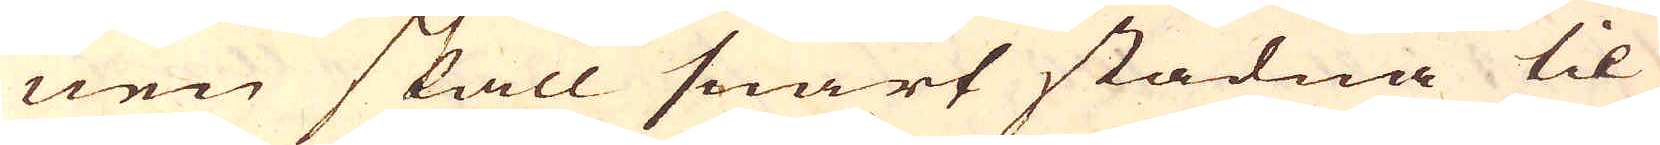nen skall snart stadna til
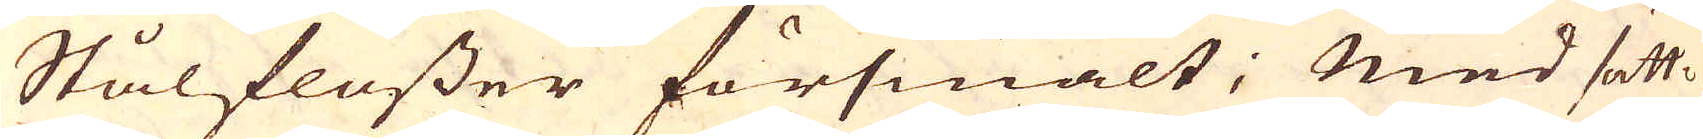Stålflusser försmält; Med sätt-
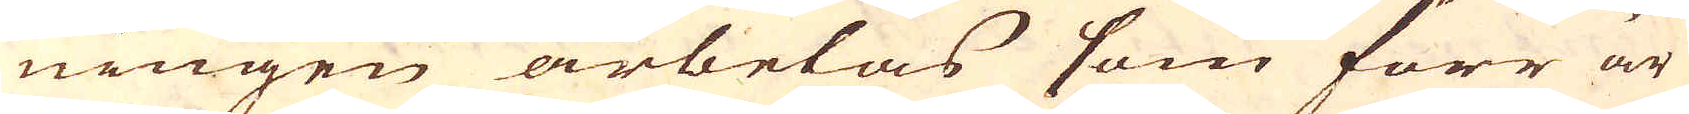ningen arbetas som förr är
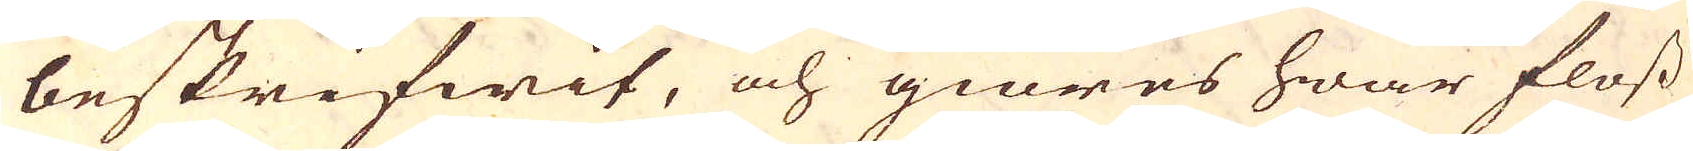beskrifwit, och giöres hwar floss
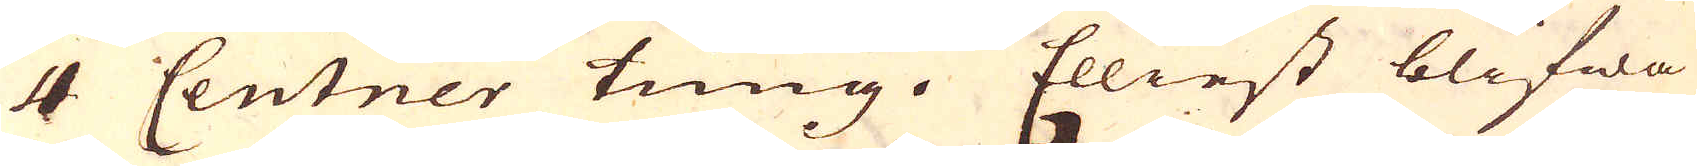4 Centner tung. Elliest blifwa
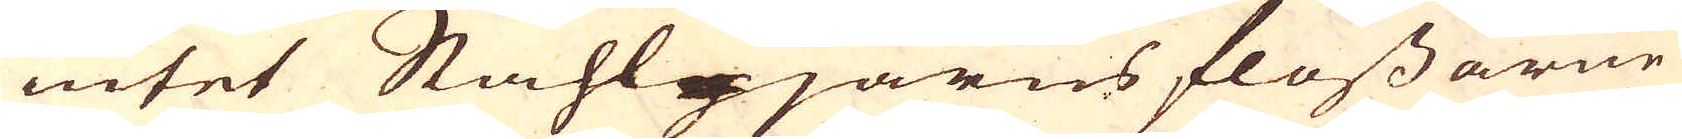intet Ståhl-järns flossarne
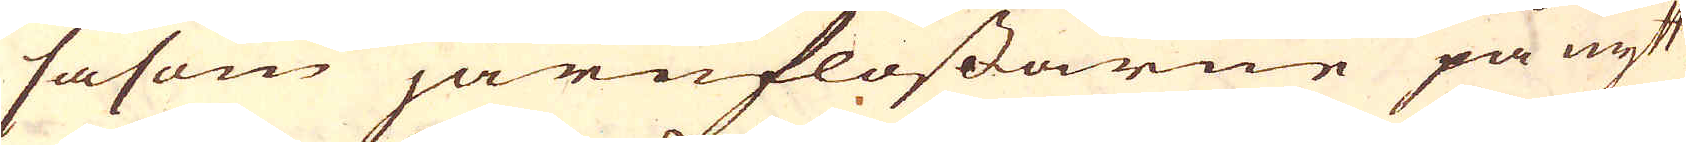såsom järnflossarne på nytt
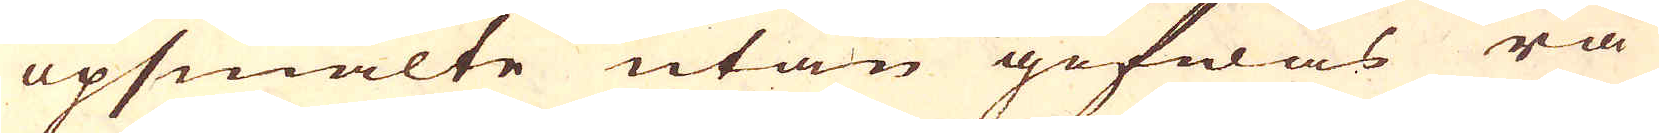upsmälte utan gifwas rå
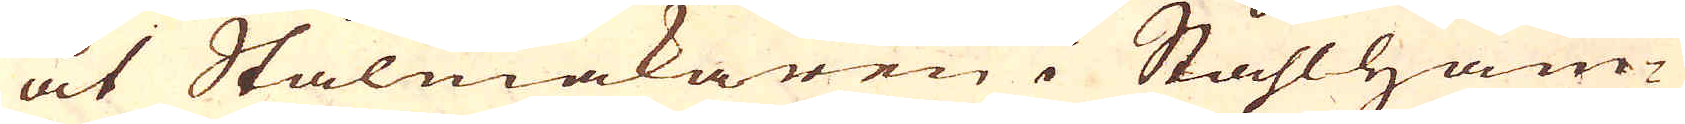åt Stålmakaren i Ståhlham-
